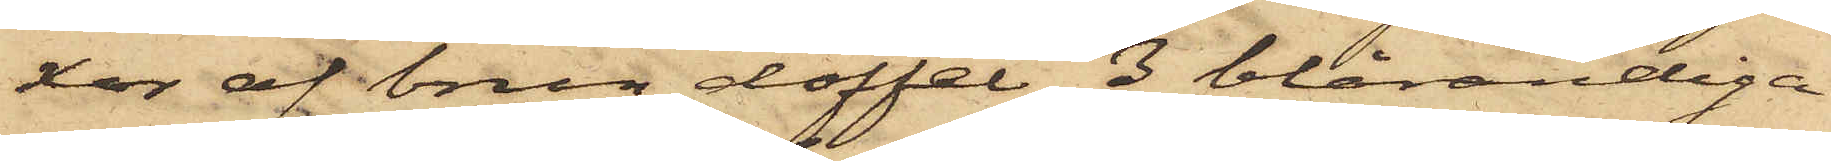xor af brun doffel, 3 blårandiga
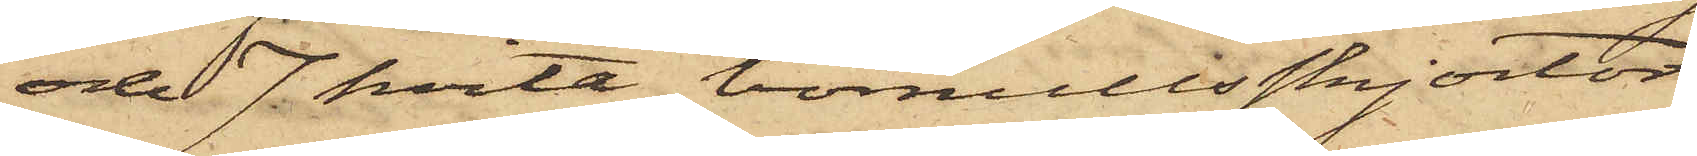och 7 hvita bomullsskjortor,
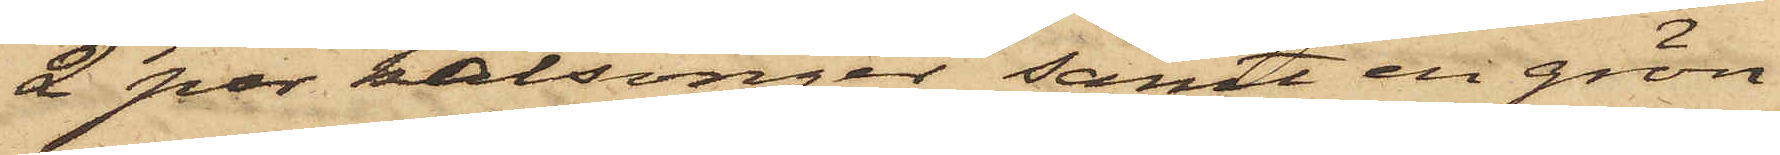2 par kalsonger samt en grön
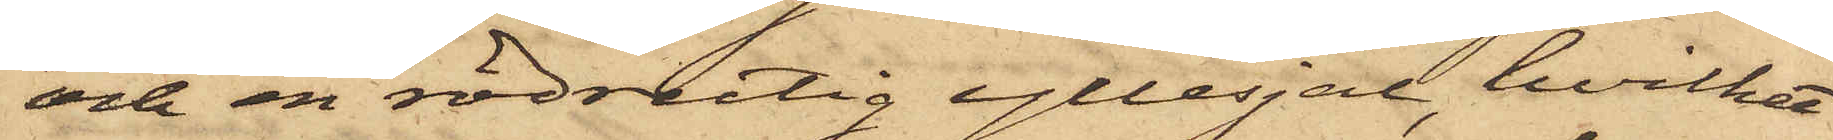och en rödrutig yllesjal, hvilket
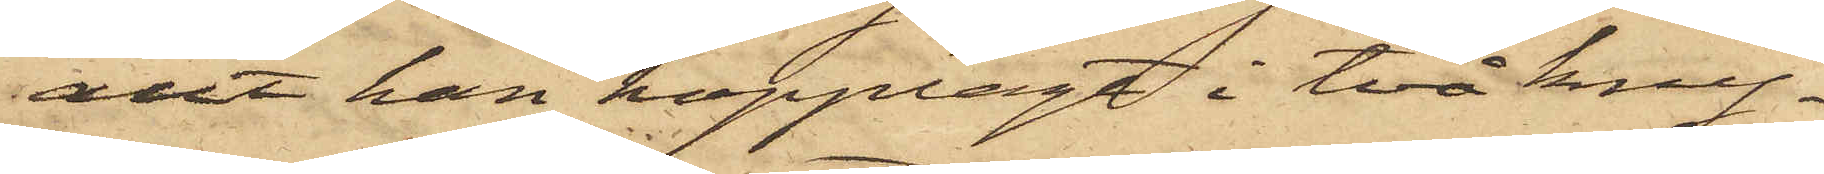allt han hopplagt i två kny¬
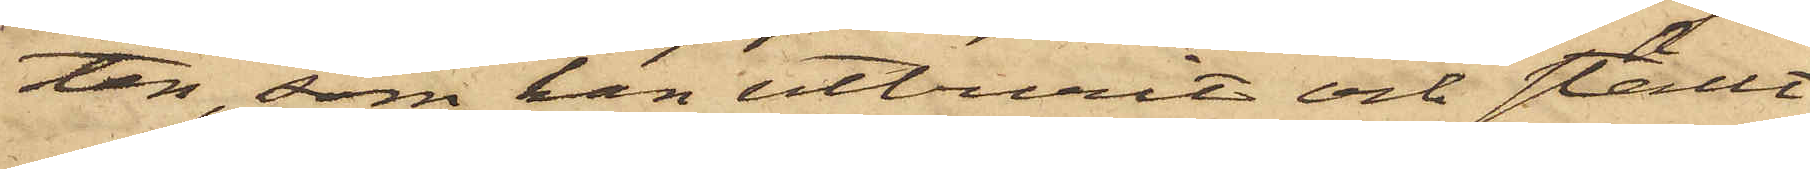ten, som han utburit och ställt
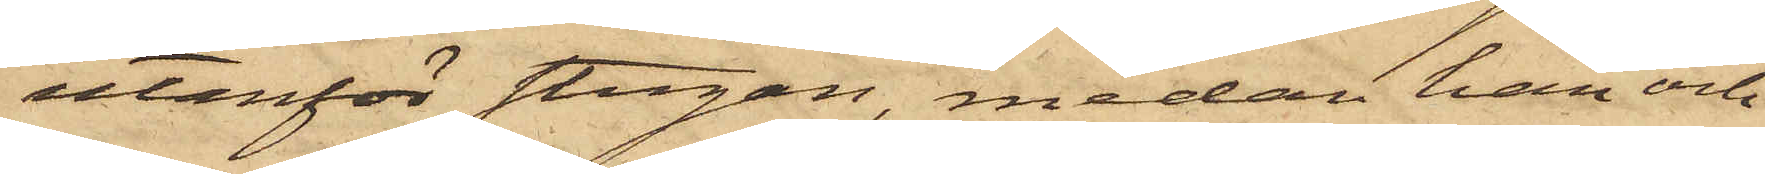utanför stugan, medan han och
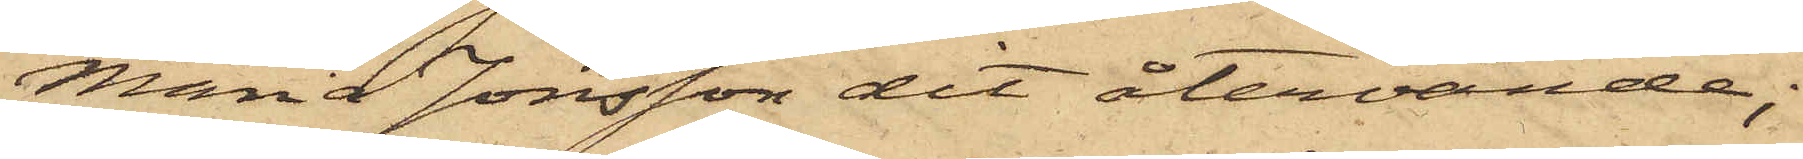Maria Jonsson dit återvände;
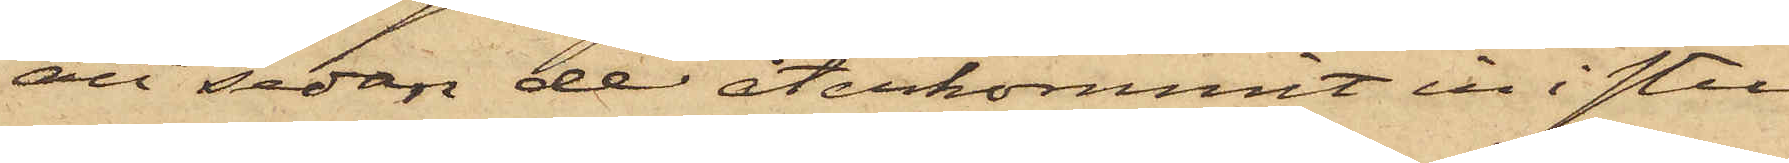att sedan de återkommit in i stu¬
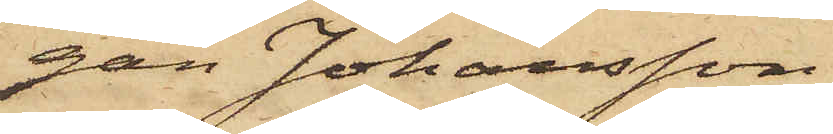gan Johansson
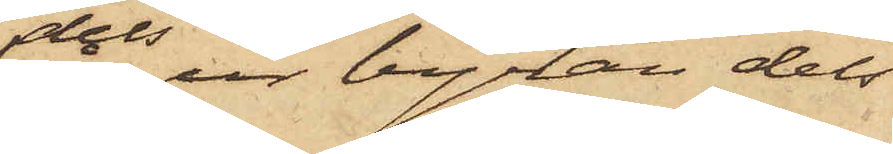dels ur byrån dels
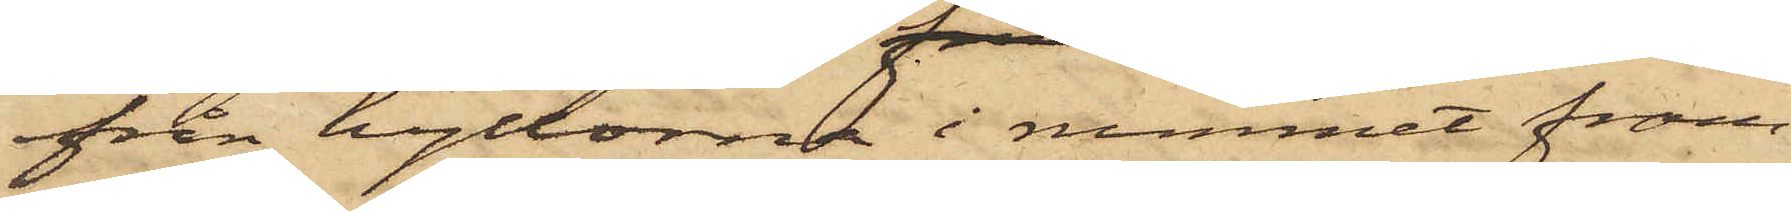från hyllorna i rummet fram¬
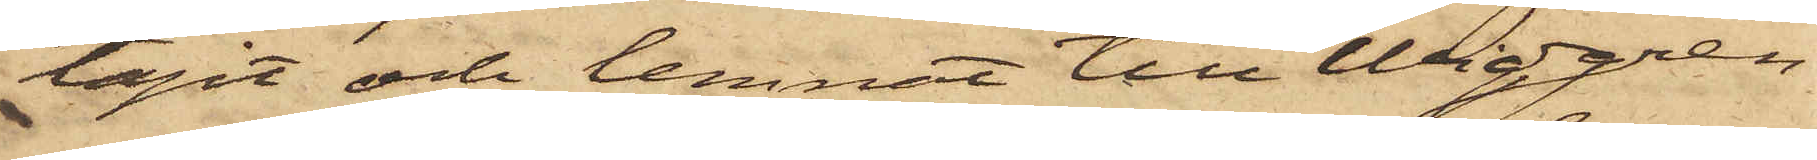tagit och lemnat till Widgren
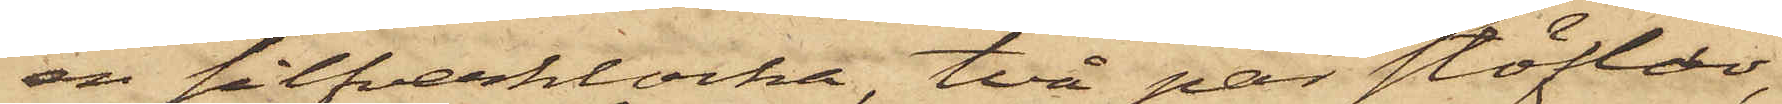en silfverklocka, två par stöflar,
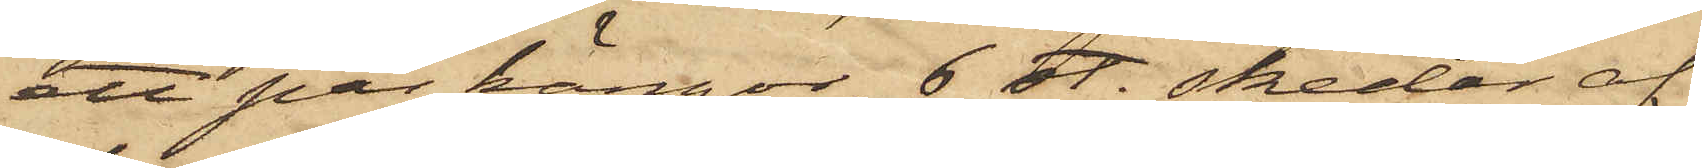ett par kängor, 6 st. skedar af
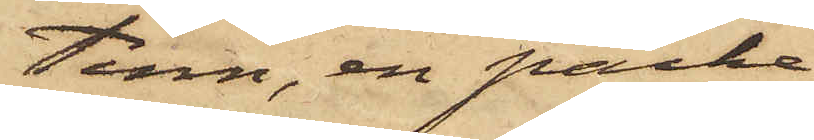tenn, en packe
